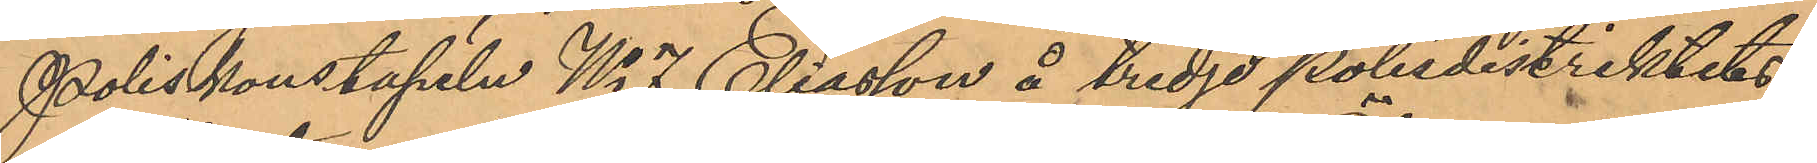Poliskonstapeln No 7 Eliasson å tredje polisdistriktets
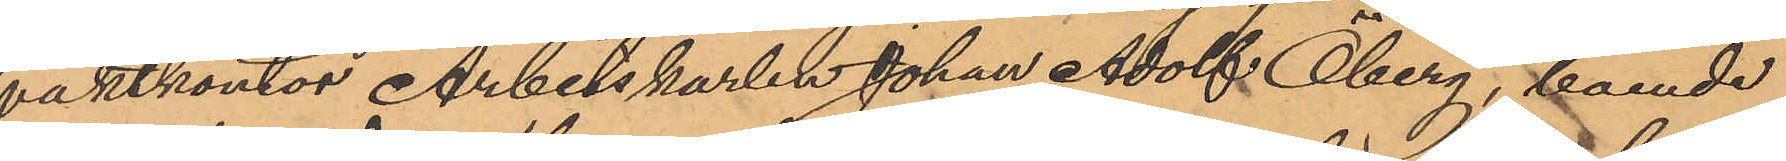vaktkontor Arbetskarlen Johan Adolf Öberg, boende
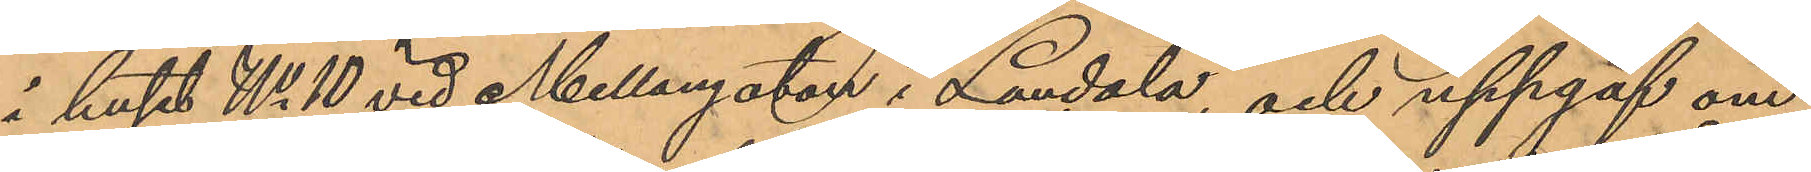i huset No 10 vid Mellangatan i Landala, och uppgaf om
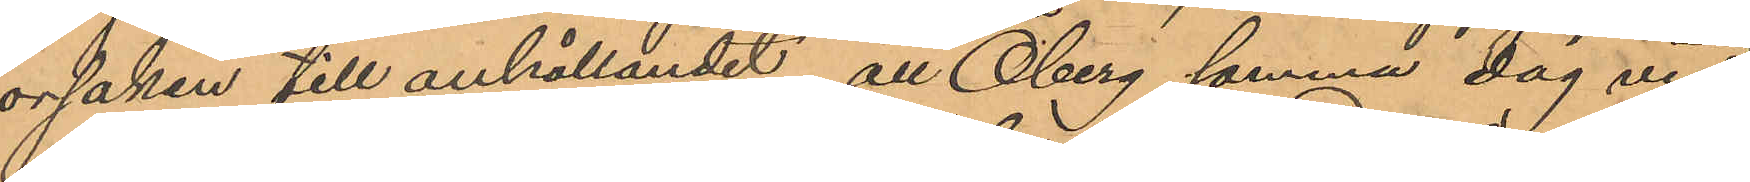orsaken till anhållandet, att Öberg samma dag vid
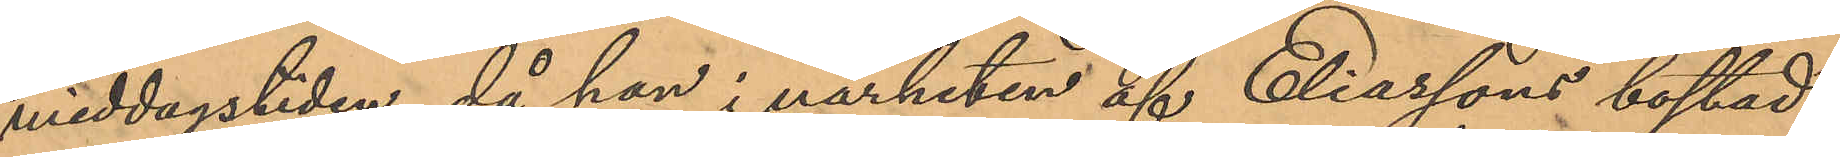middagstiden, då han i närheten af Eliassons bostad
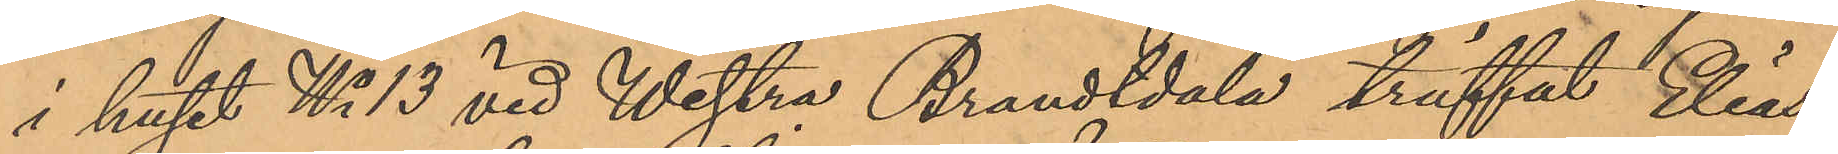i huset No 13 vid Westra Brandtdala träffat Elias¬
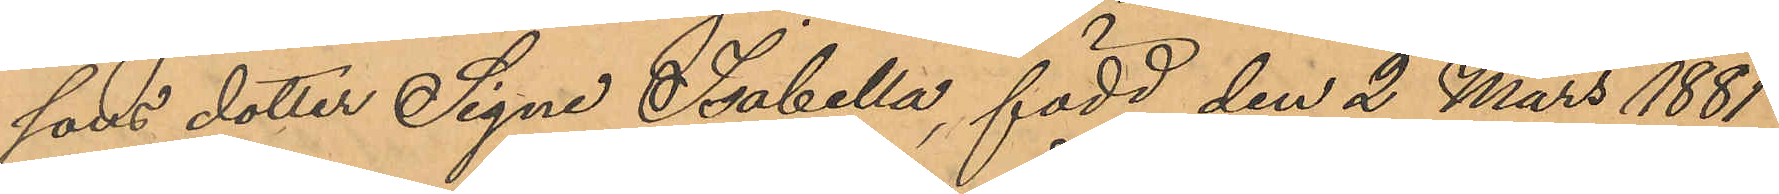sons dotter Signe Isabella, född den 2 Mars 1881,
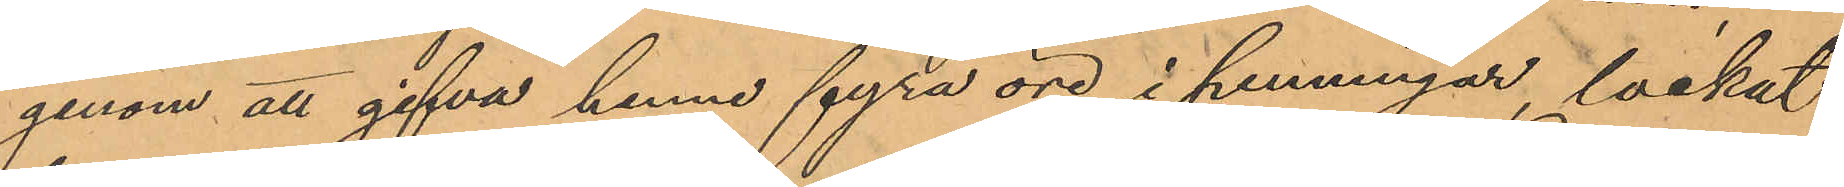genom att gifva henne fyra öre i penningar, lockat
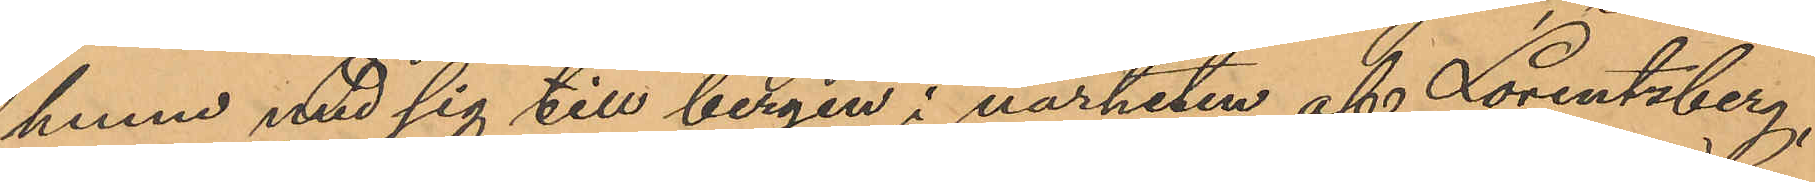henne med sig till bergen i närheten af Lorentzberg,
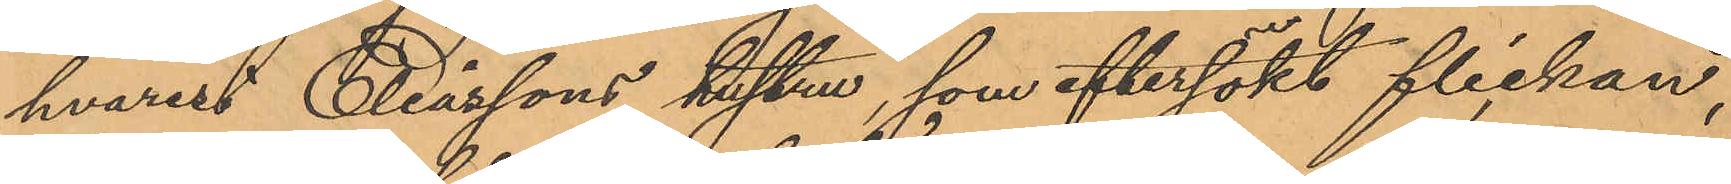hvarest Eliassons hustru, som eftersökt flickan,
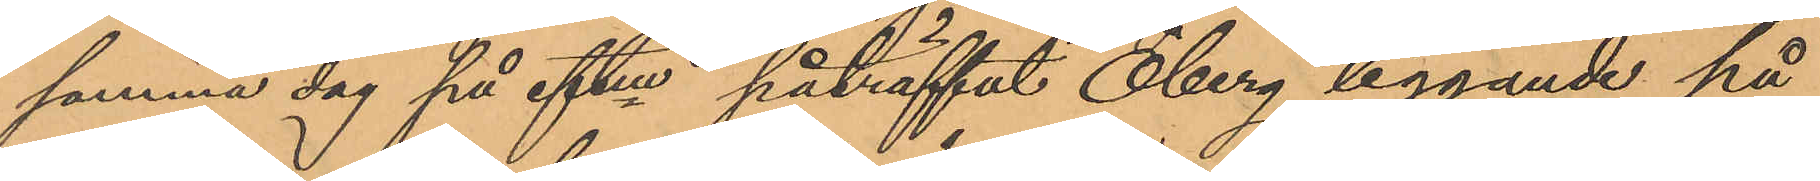samma dag på eftm påträffat Öberg liggande på
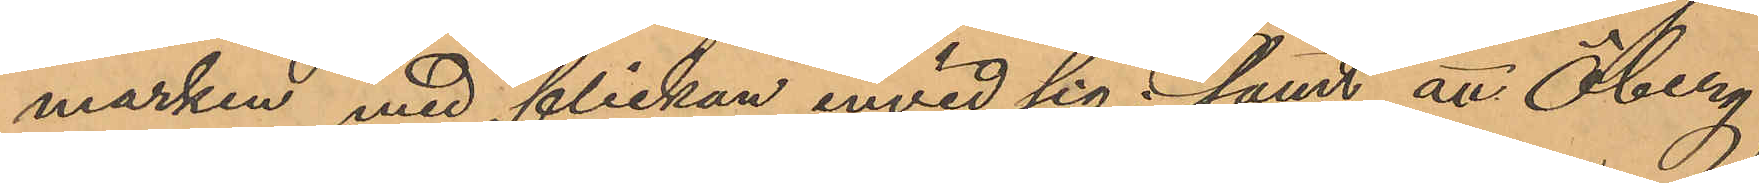marken med flickan invid sig; samt att Öberg
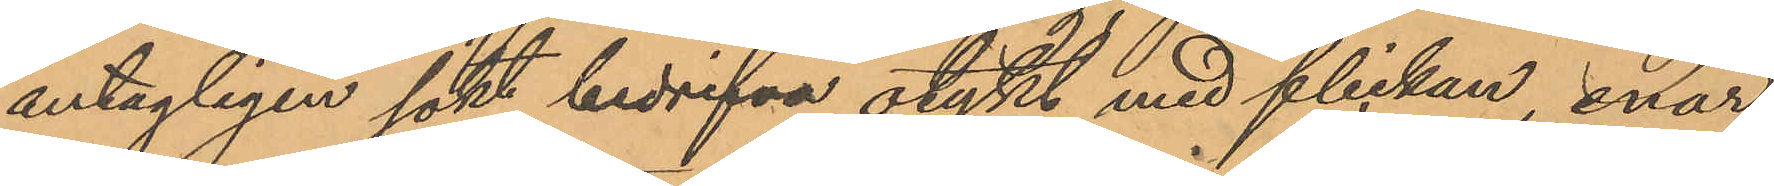antagligen sökt bedrifva otukt med flickan, enär
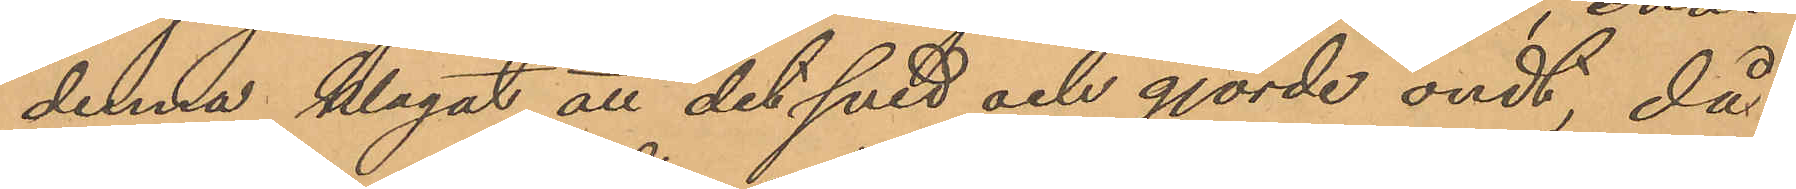denna klagat att det sved och gjorde ondt, då
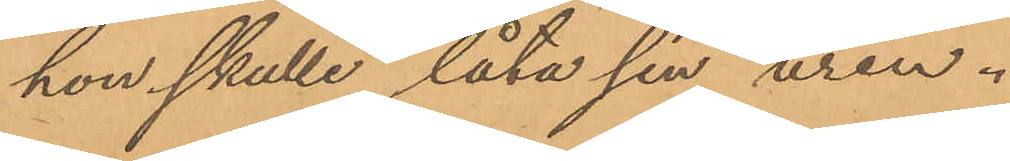hon skulle låta sin urin.
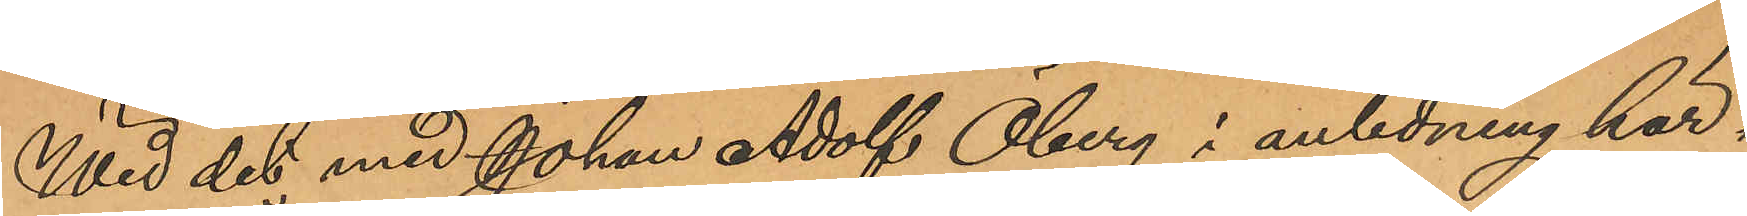Wid det med Johan Adolf Öberg i anledning här¬
